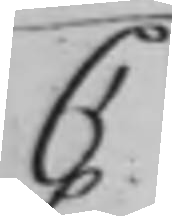C
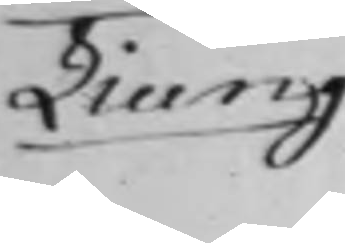Liung
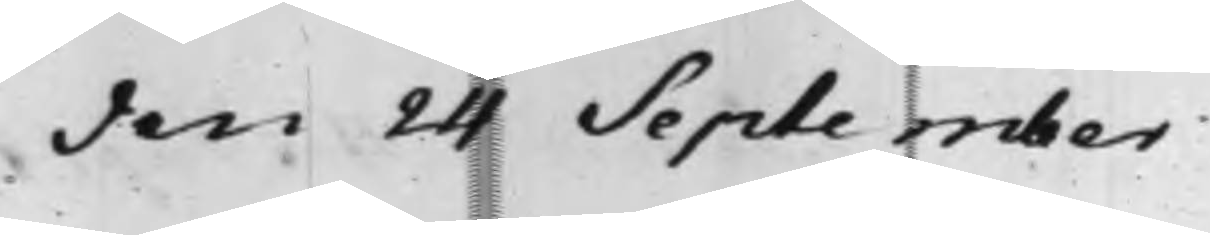den 24 September
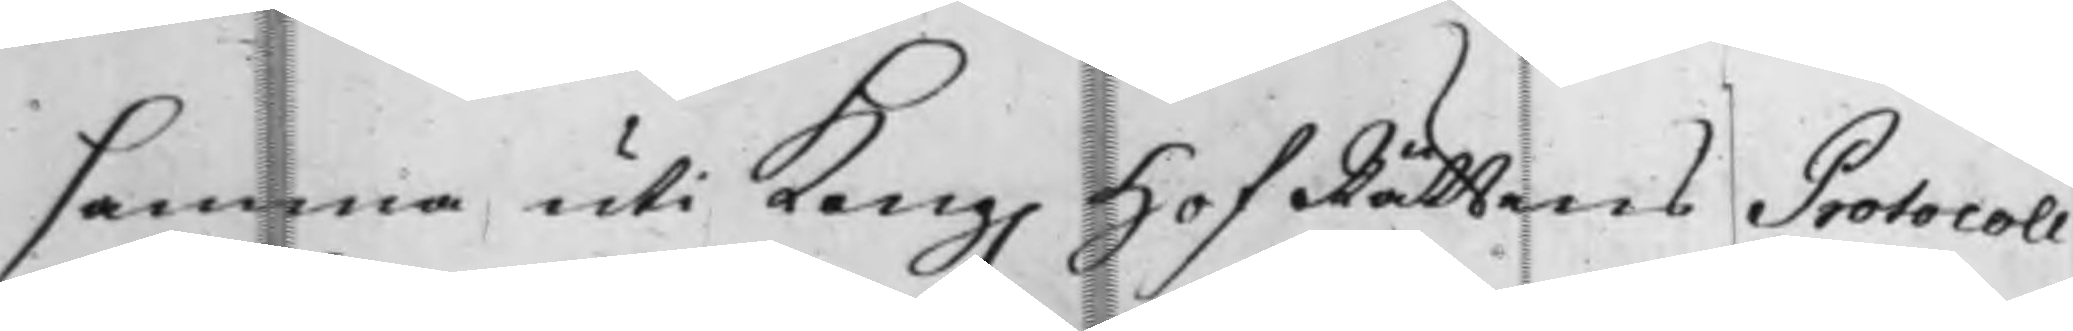samma uti Kong. HofRättens Protocoll
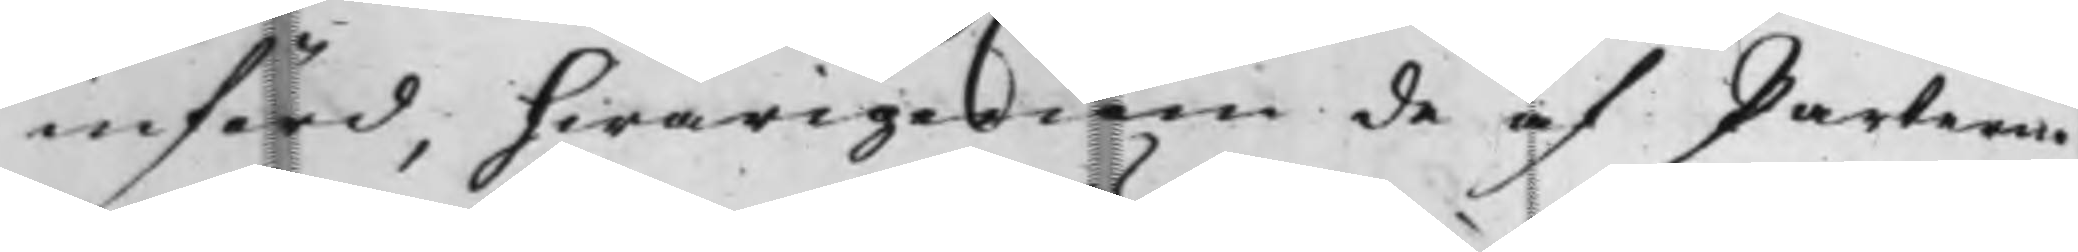införd, hwarigenom de af Parterne
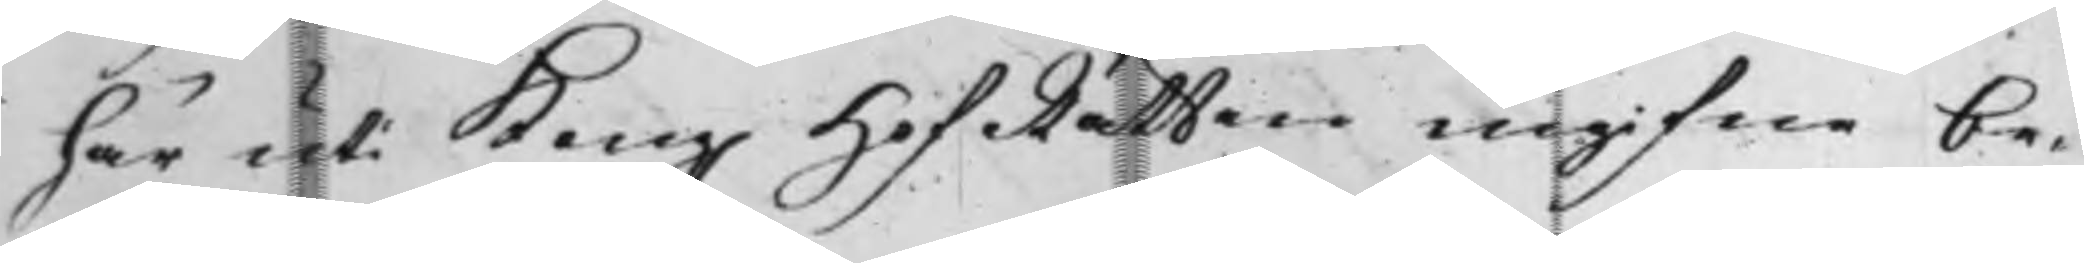här uti Kong. HofRätten ingifne be¬
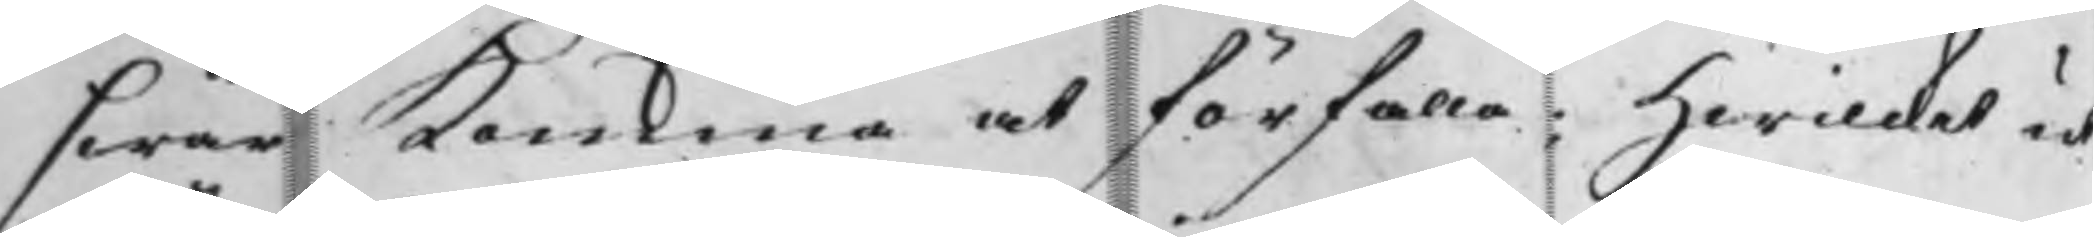swär komma at förfalla; Hwilcket ut¬
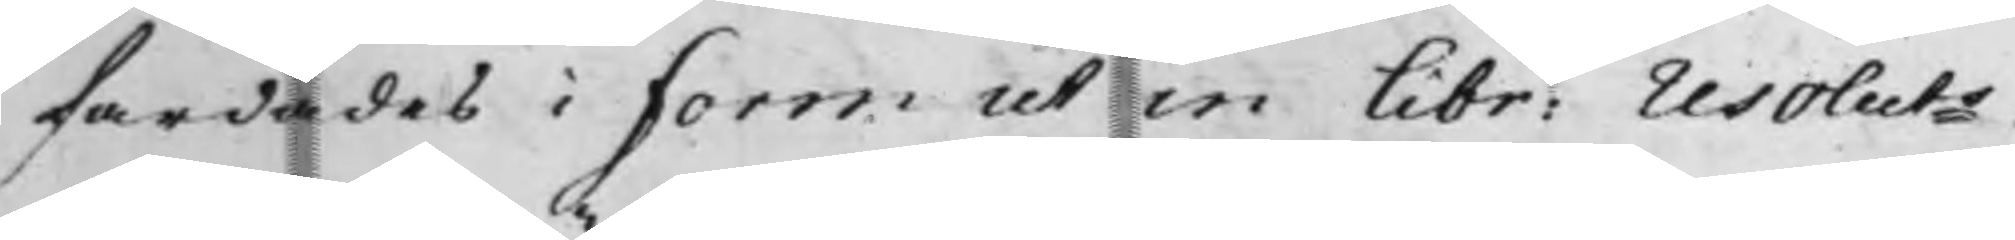färdades i form ut in Libr: resoluts.
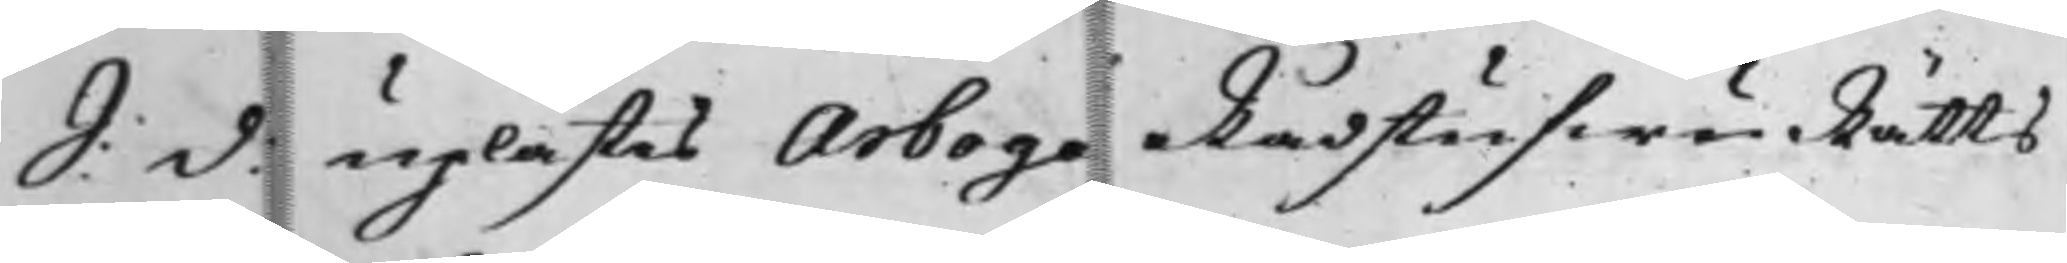S: d: uplästes Arbogs RådstufwuRätts
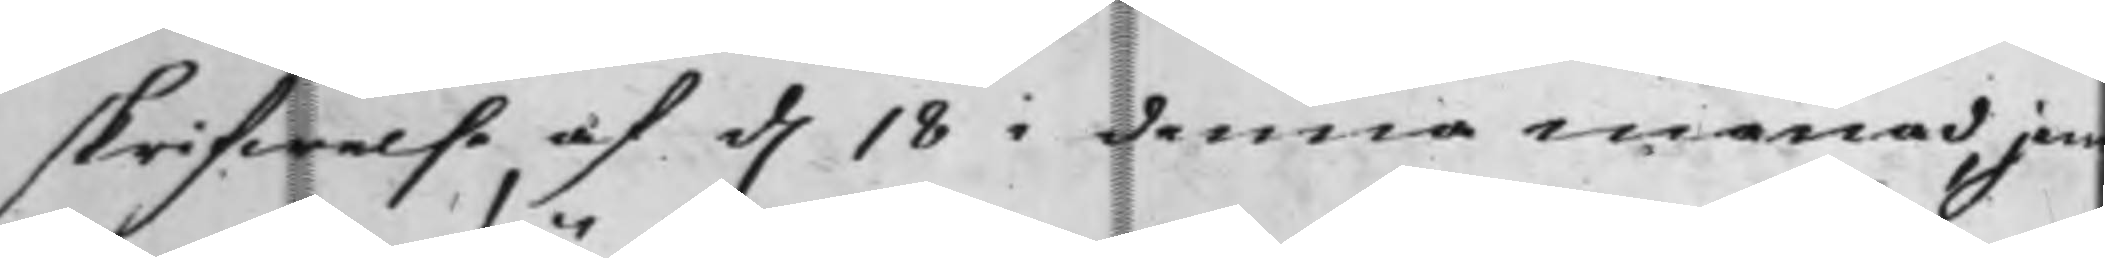skrifwelse af d. 18 i denna månad, jem¬
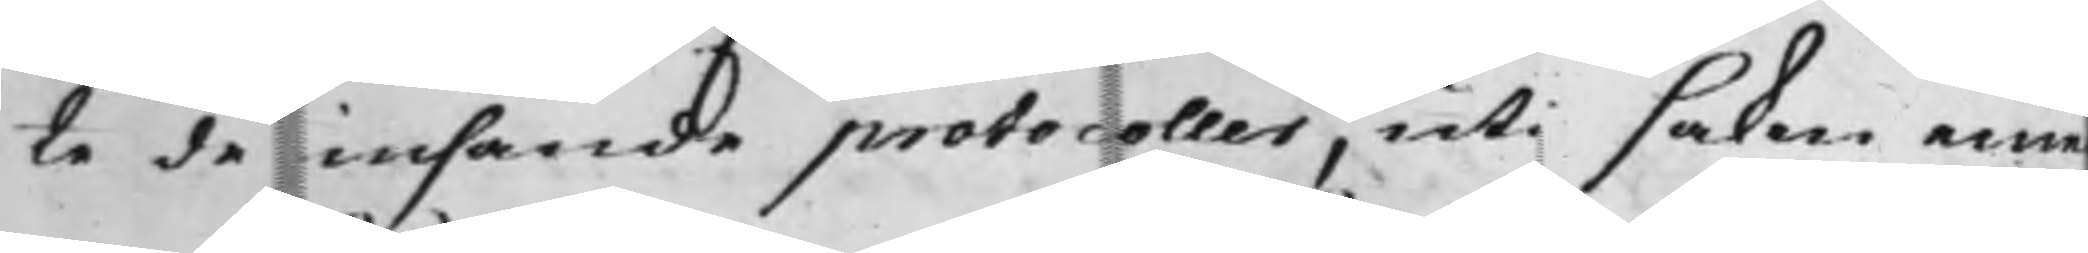te de insände protocoller, uti saken eme¬
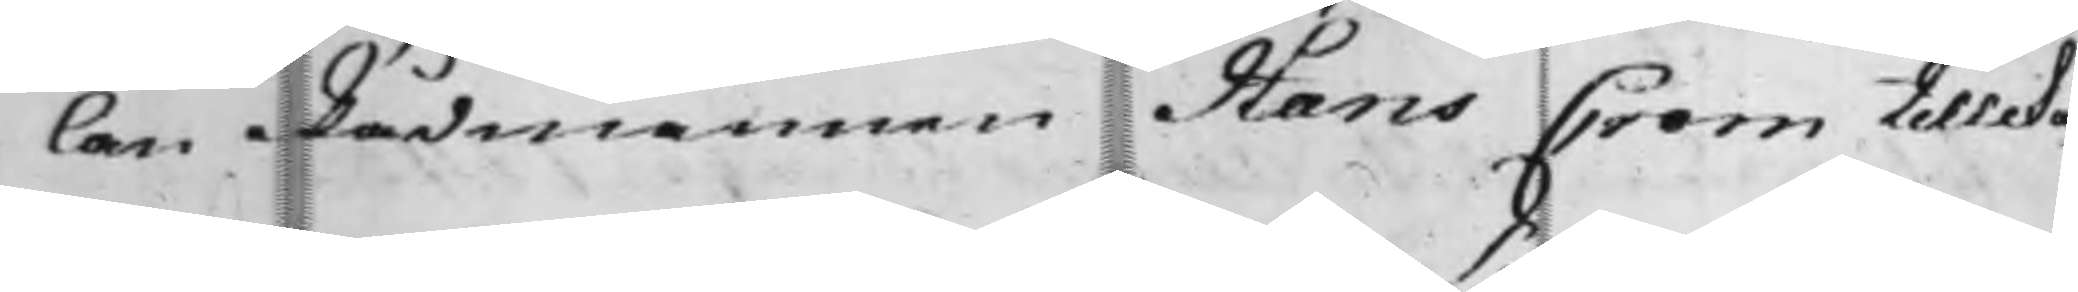lan Rådmannen Hans Crom tillika
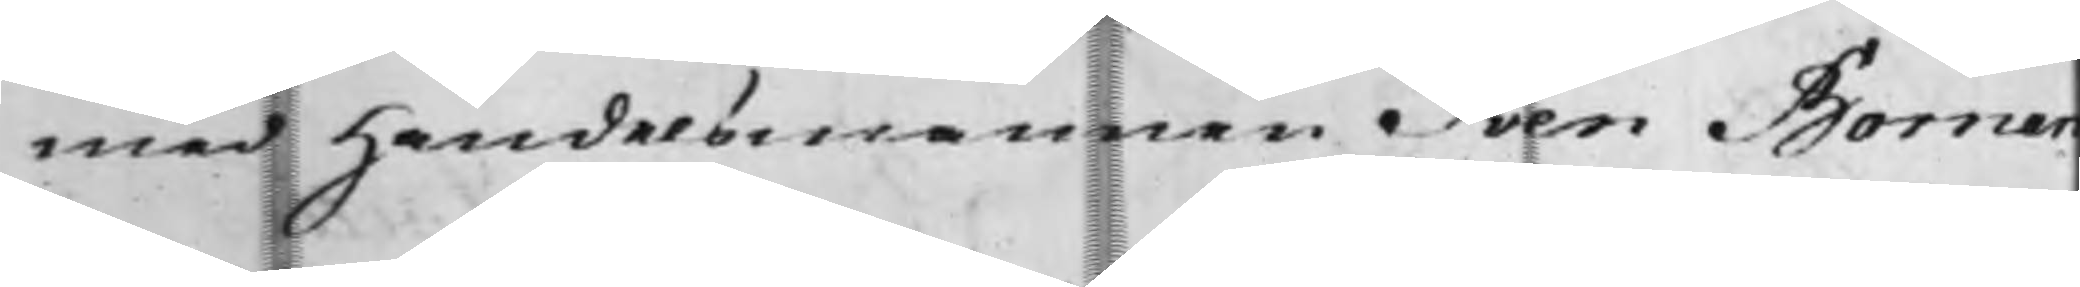med Handelsmannen Sven Bornan¬
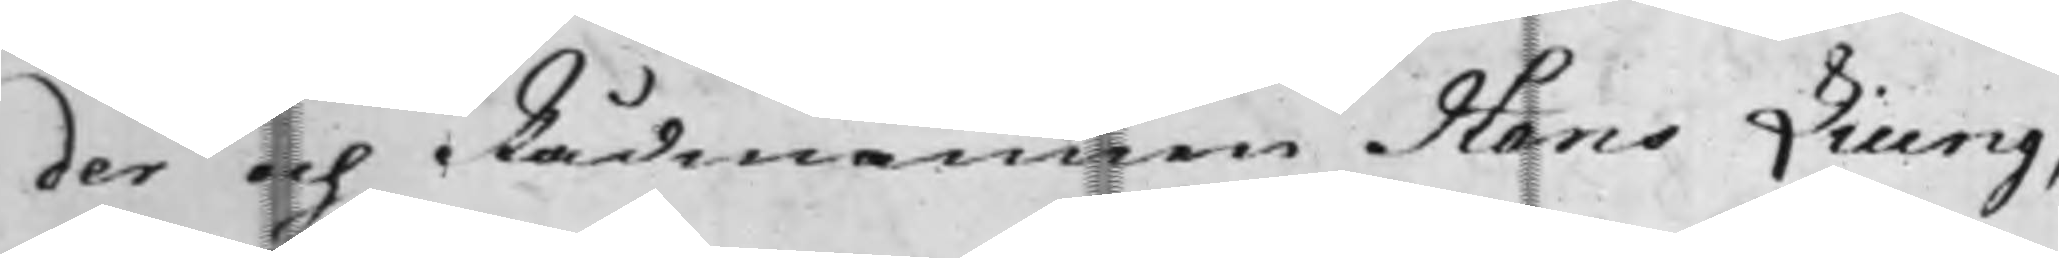der och Rådmannen Hans Liung,
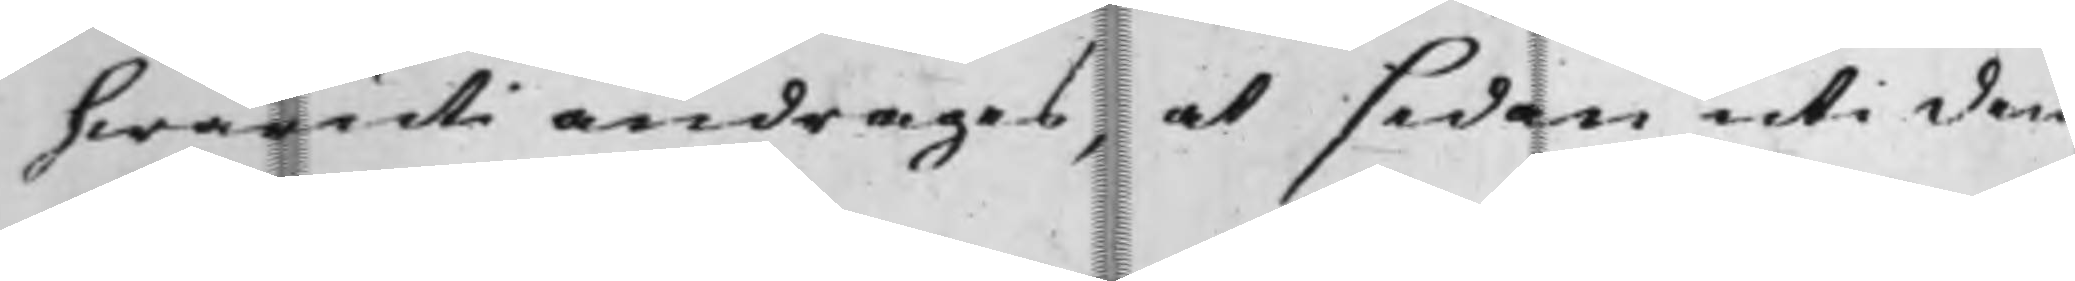hwaruti andrages, at sedan uti den
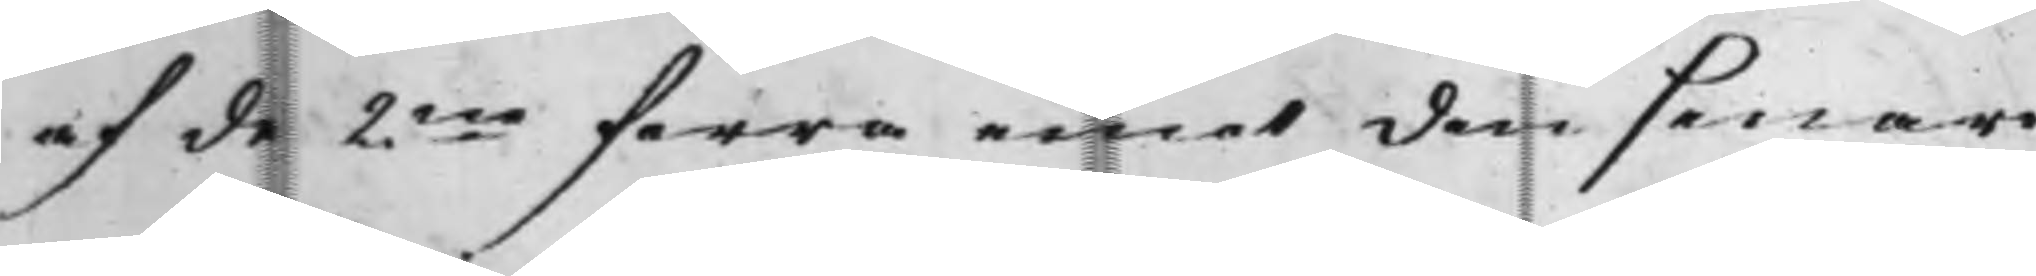af de 2ne förra emot den senare
